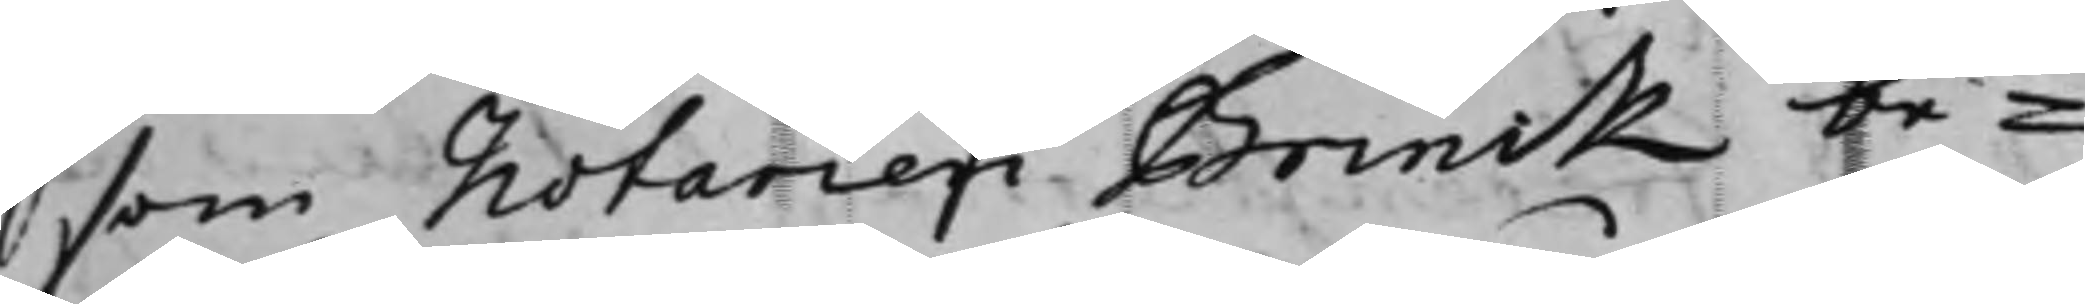som Notarien Brinck be¬
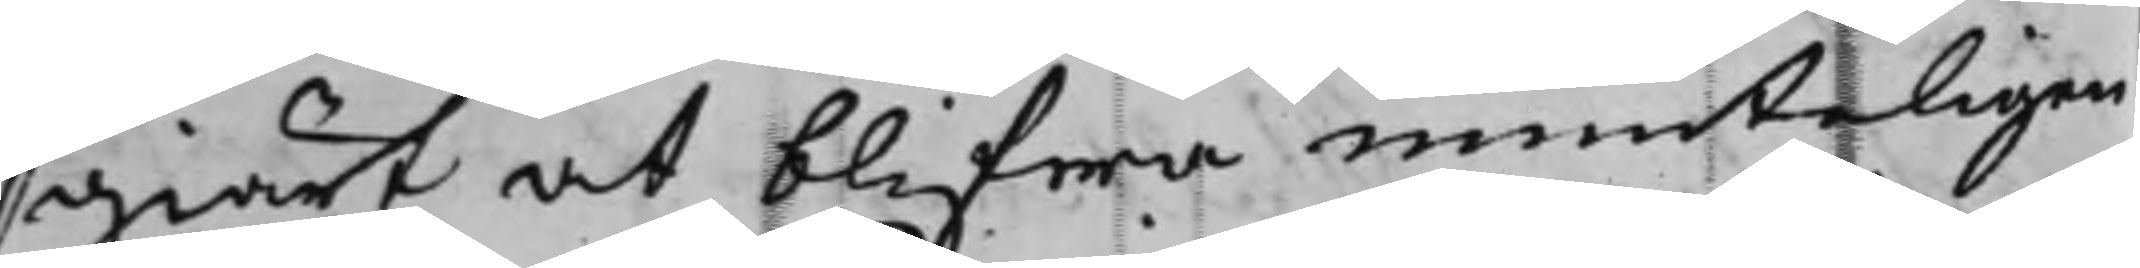giärt at blifwa munteligen
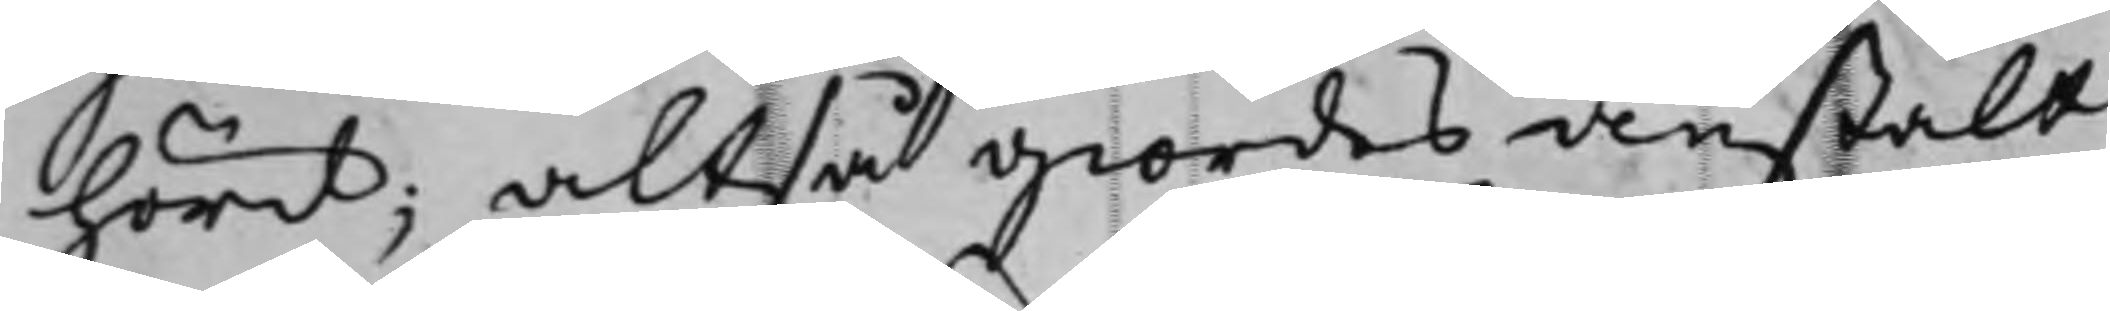hörd; altså giordes anstalt
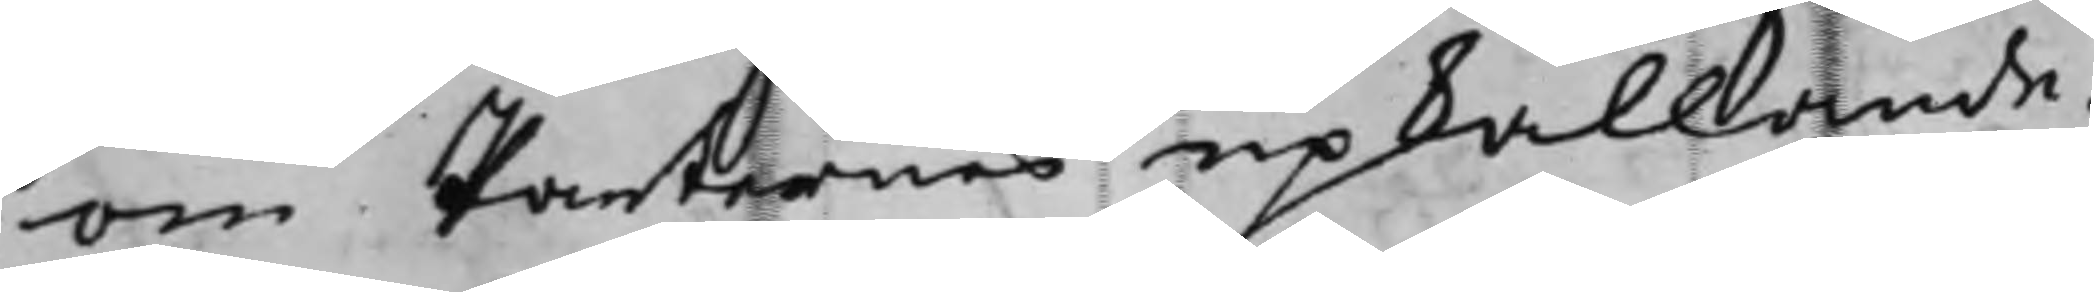om Parternes upkallande.
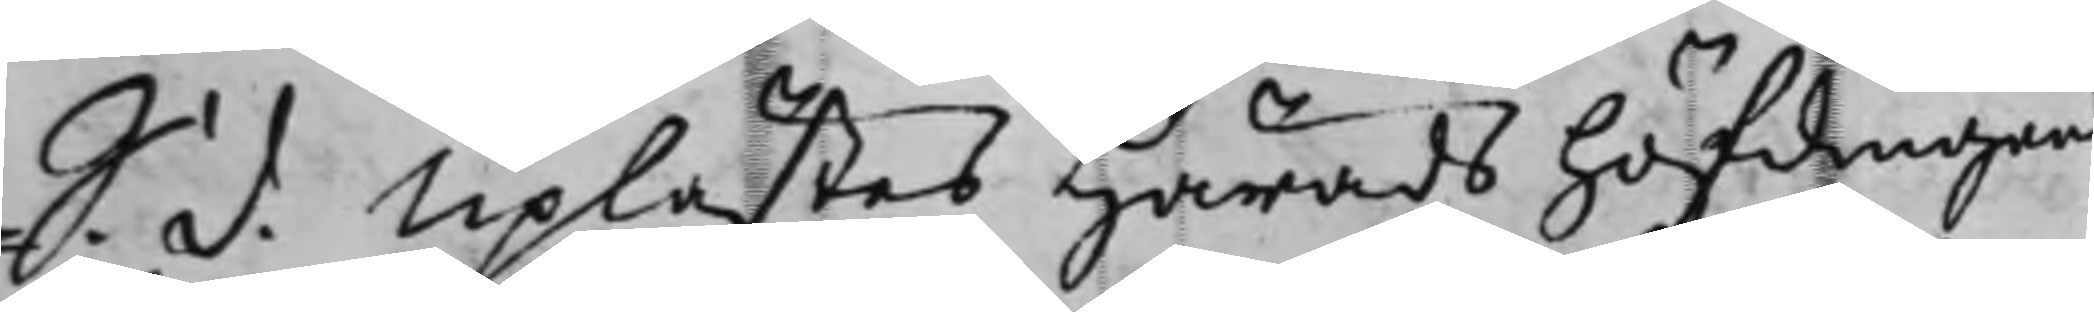S. d. Uplästes Häradshöfdingens
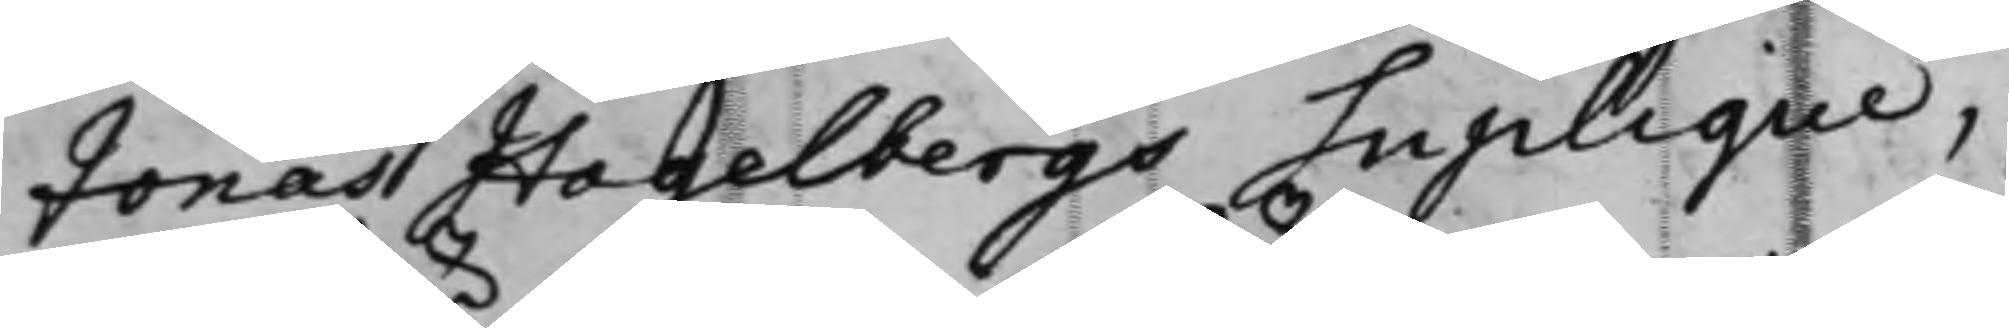Jonas Hagelbergs Suplique,<
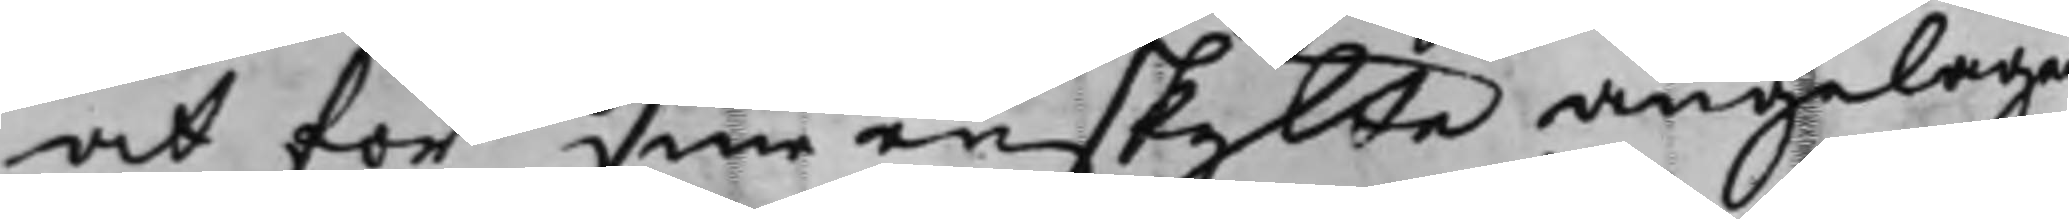at för sine enskijlte angelägen¬
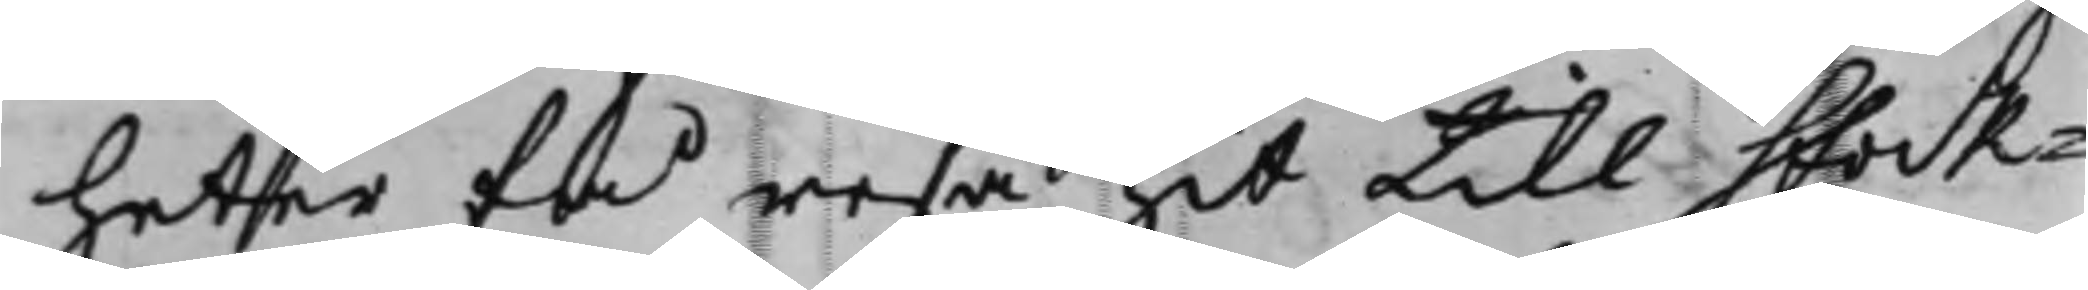heter få resa hit till Stock¬
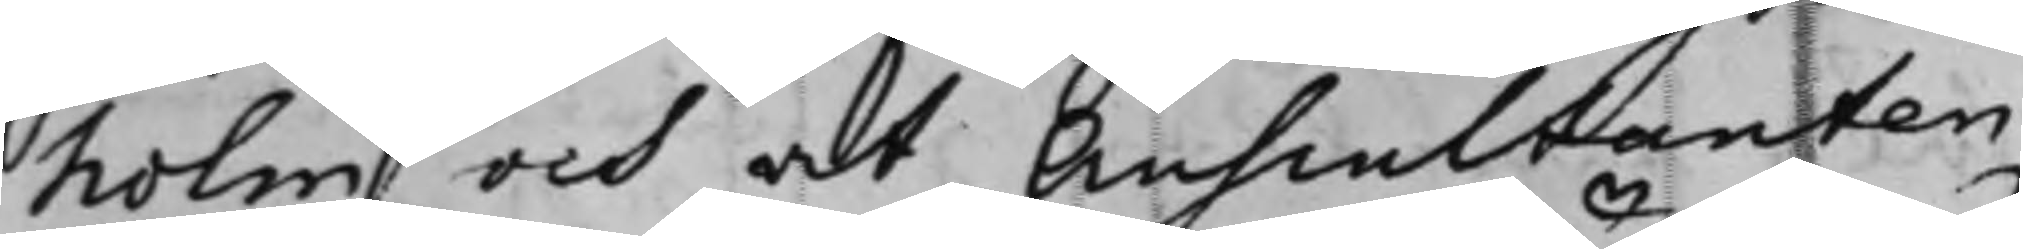holm och at Anscultanten
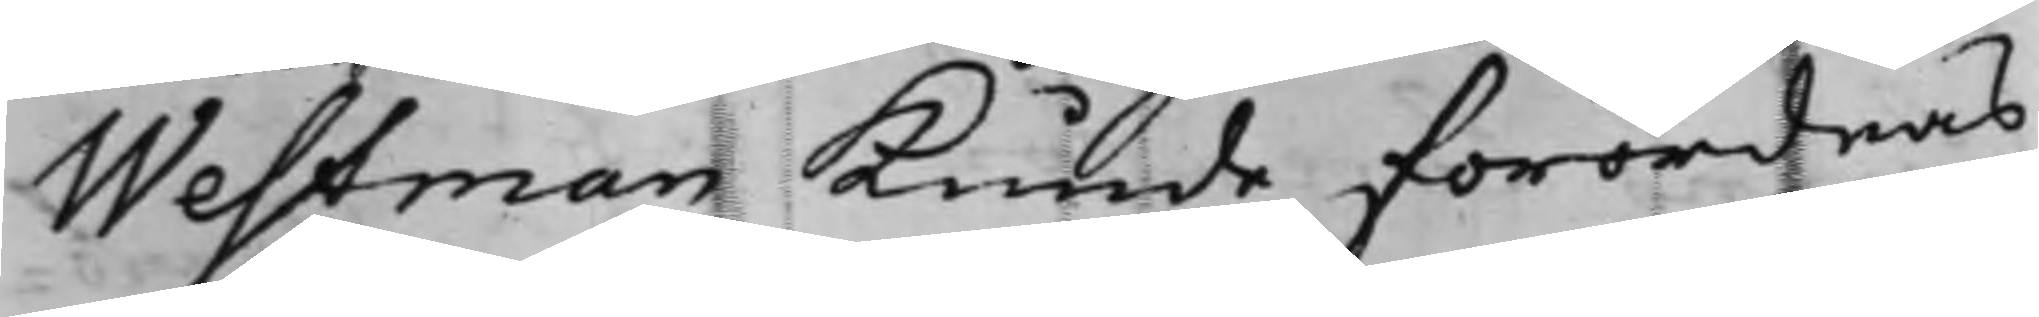Westman kunde förordnas
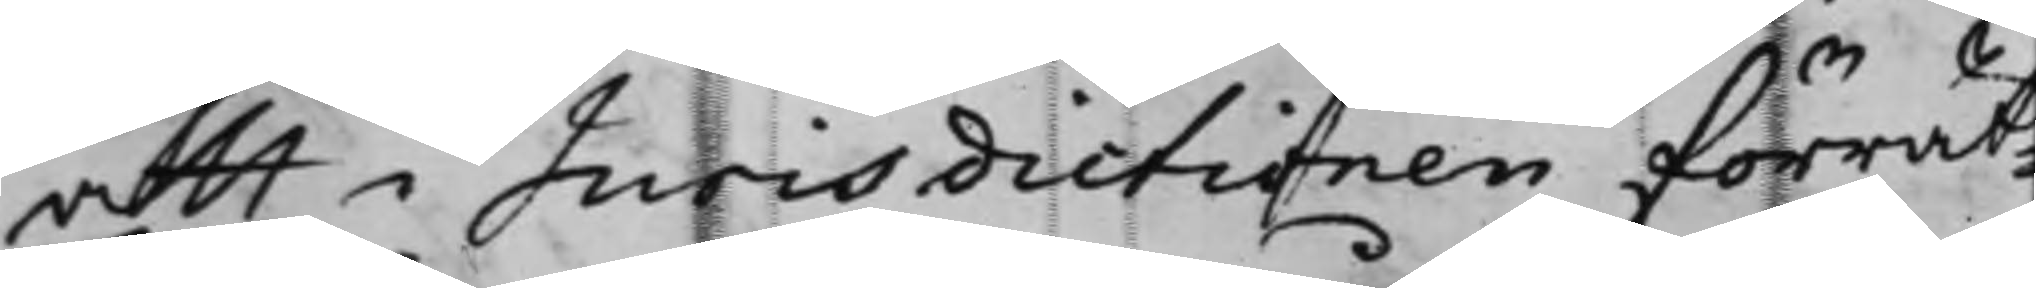att i Jurisdictionen förrät¬
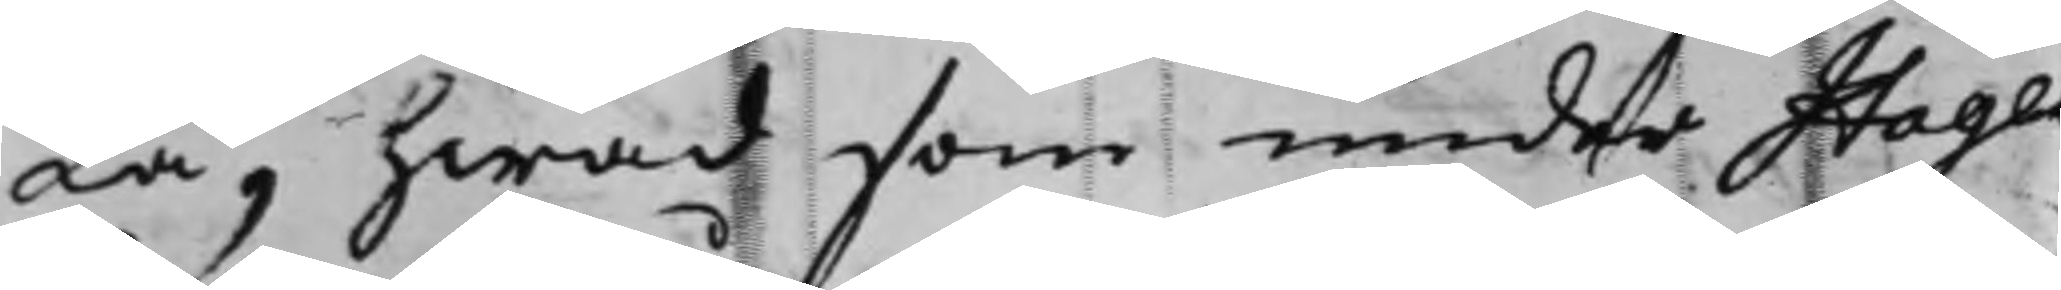ta, hwad som under Hagen¬
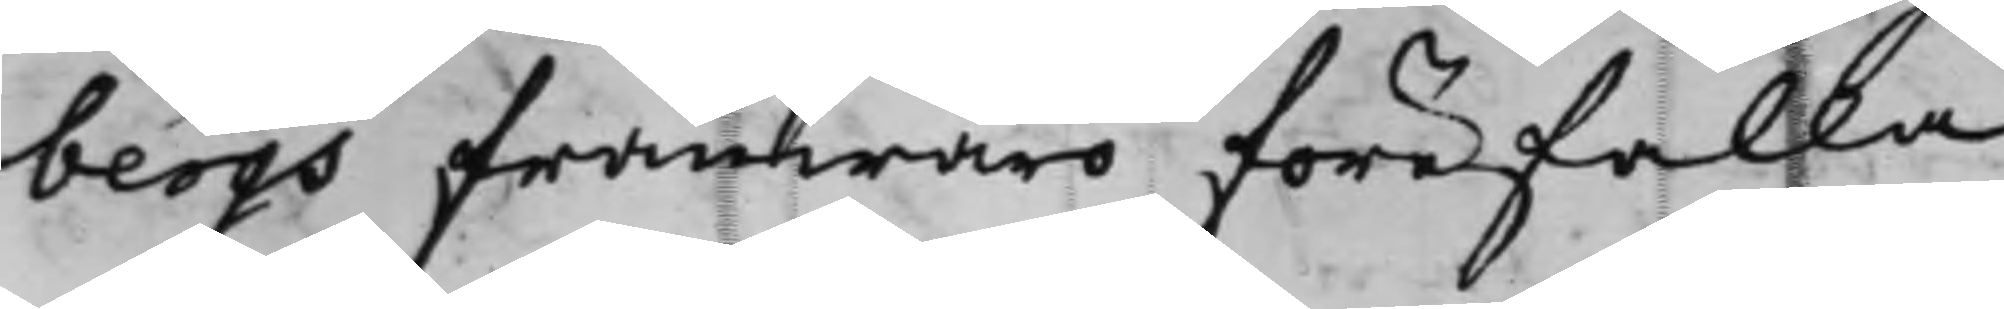bergs frånwaro förefalla
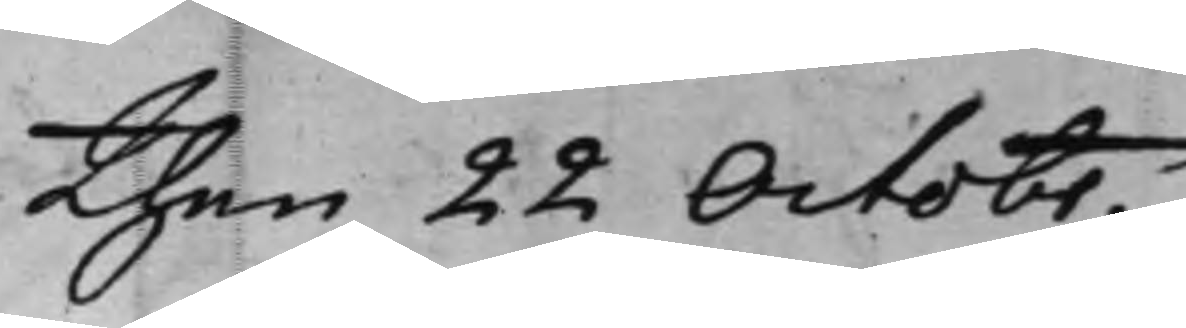then 22 Octobr.
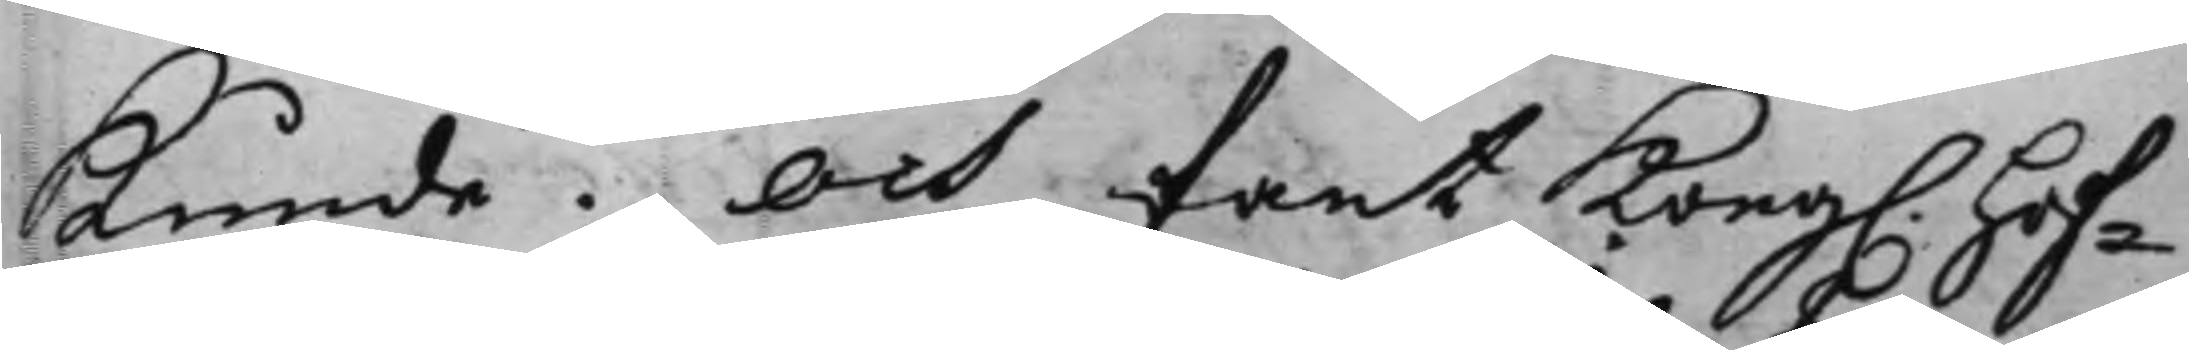Kunde. Och fant Kong. Hof¬
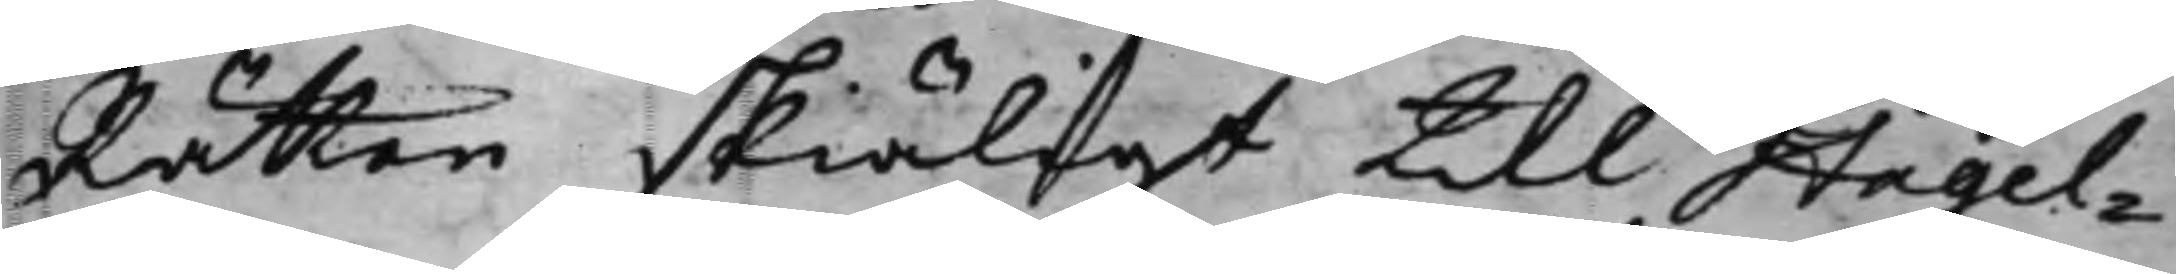Rätten skiäligt till Hagel¬
